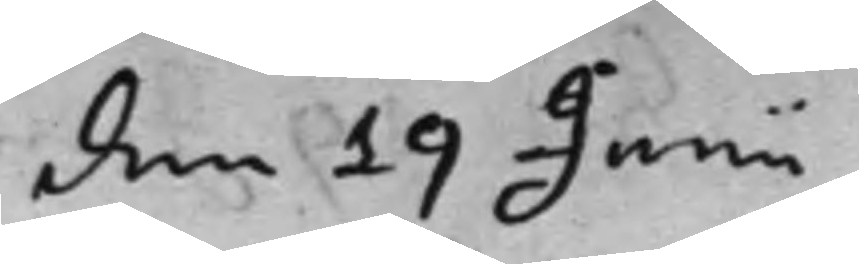den 19 Junii
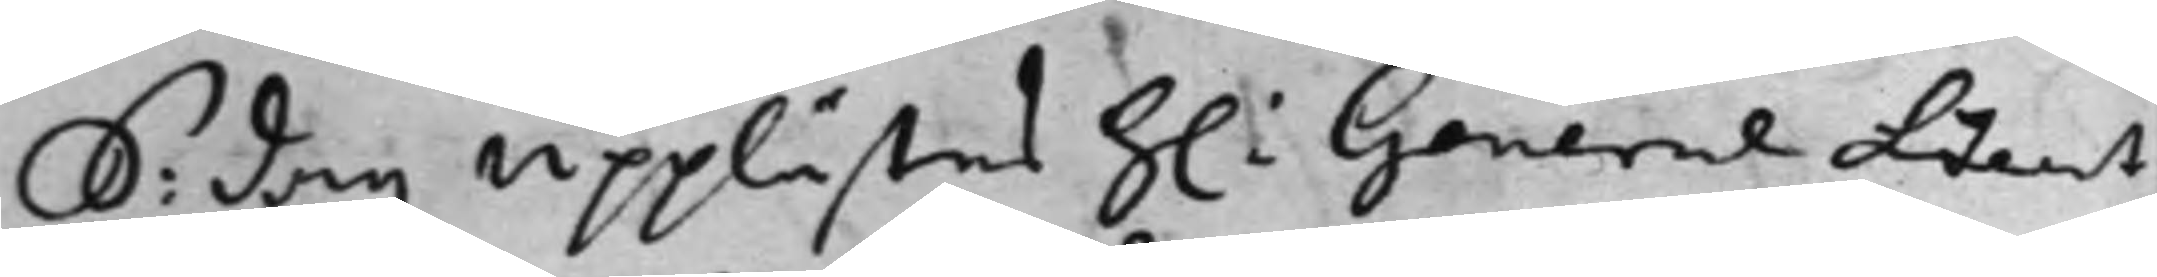S: dag upplästes h: General Lieut¬
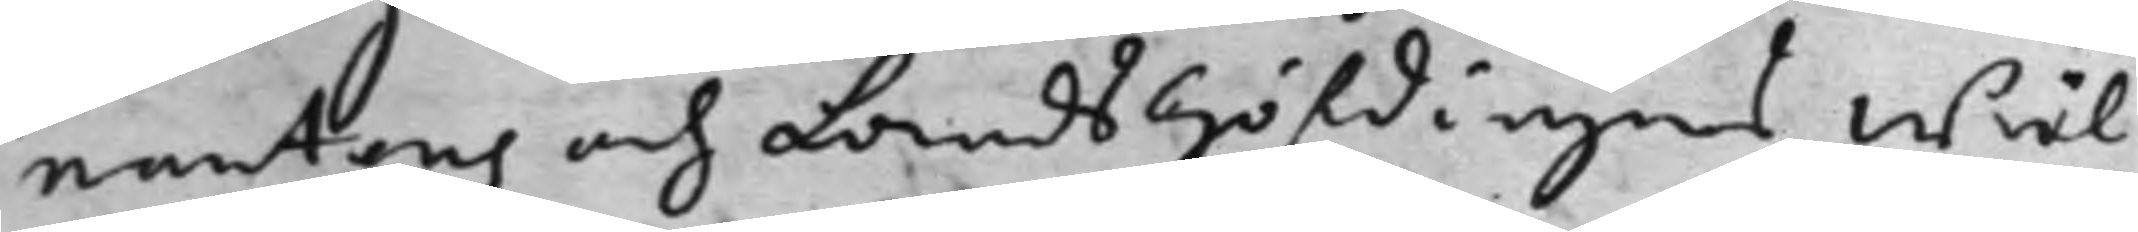nantens och Landshöfdingens Wäl¬
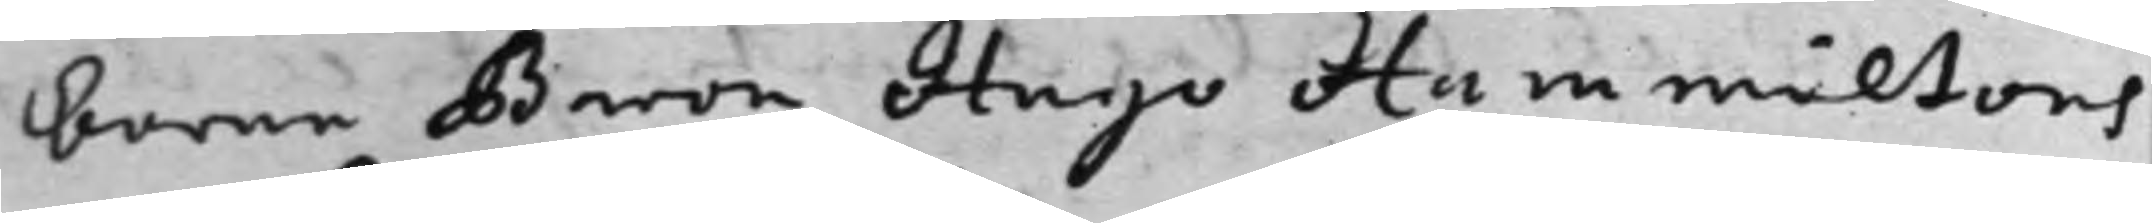borne Baron Hugo Hammiltons
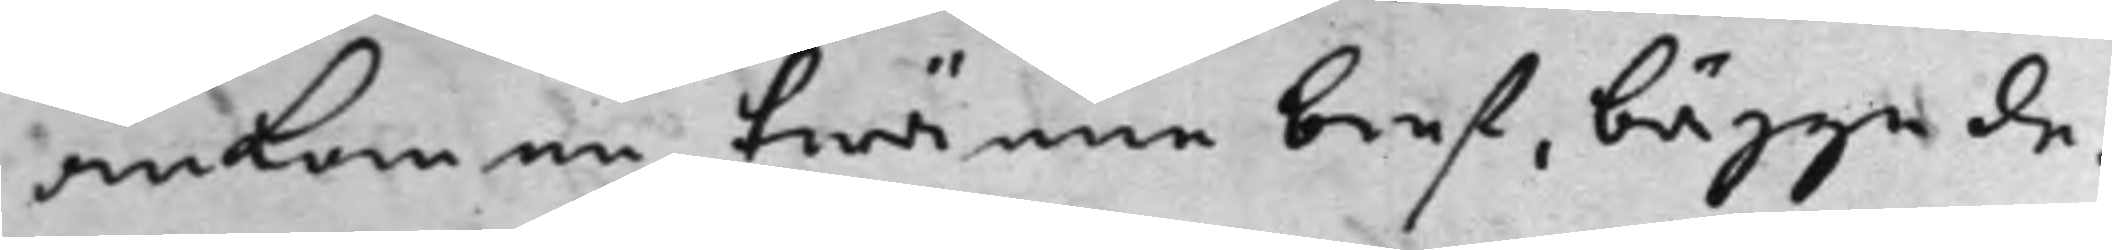ankomne twänne bref, bägge da¬
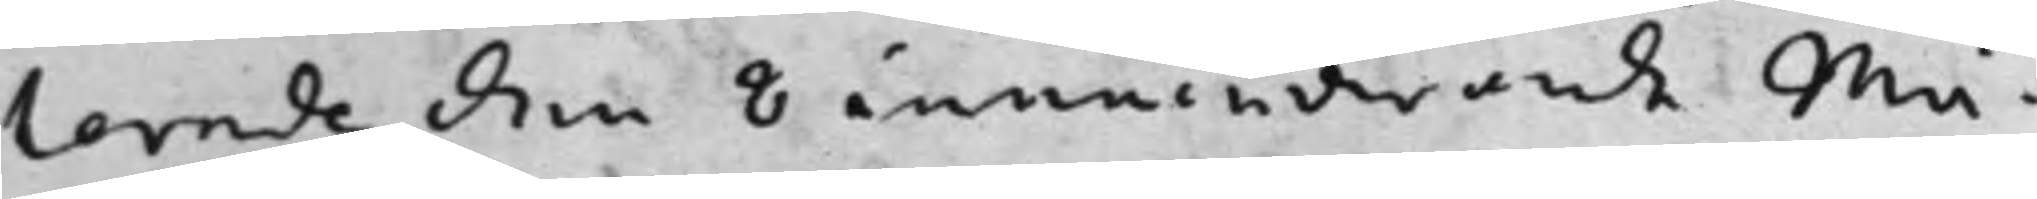terade den 8 innewarande Må¬
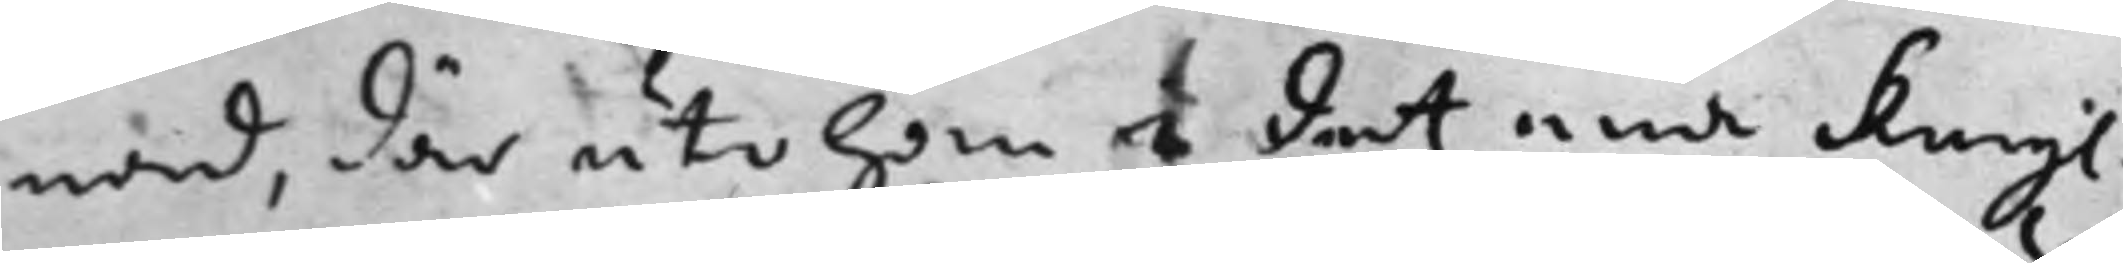nad, där uti han i det ena Kongl.
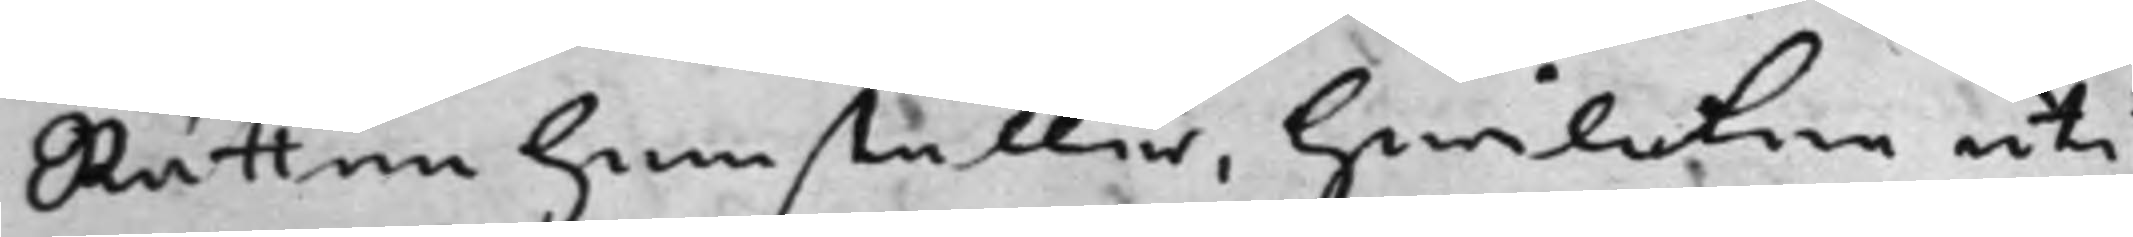Rätten hemställer, hwilcken uti
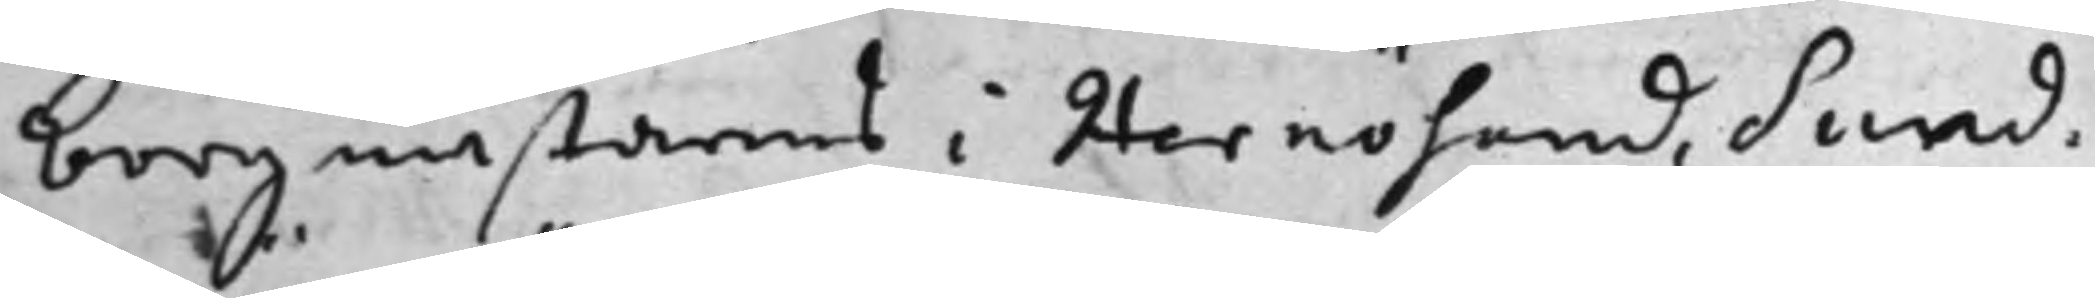borgmästarens i Hernösand, Sund¬
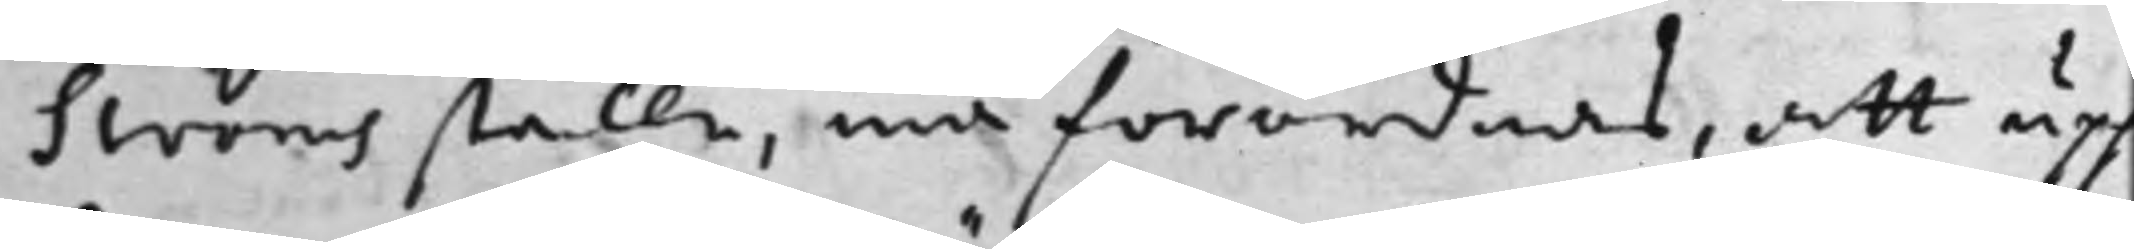Ströms ställe, må förordnas, att upp¬
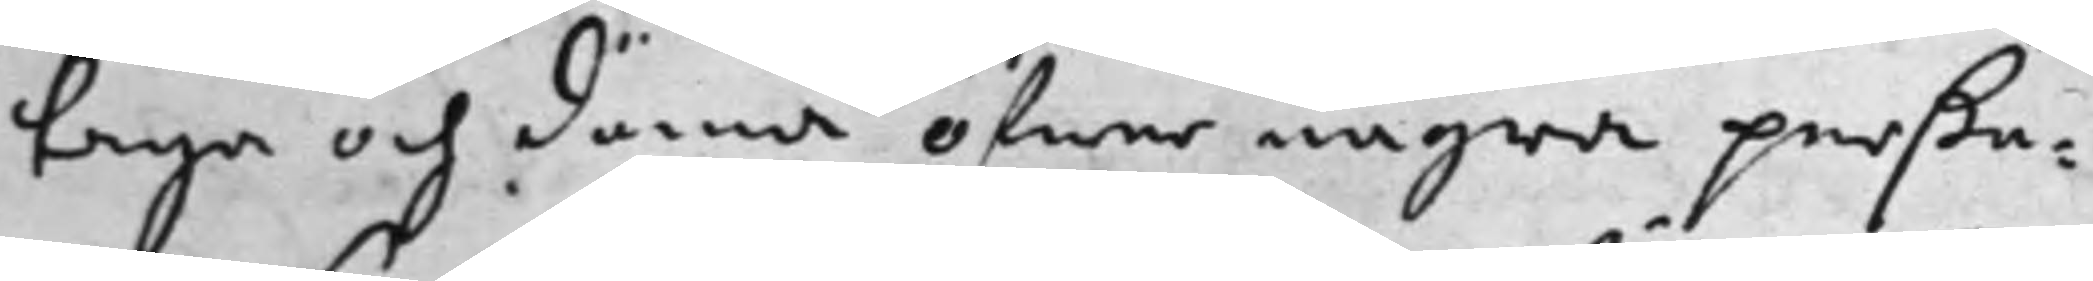taga och döma öfwer några perßo¬
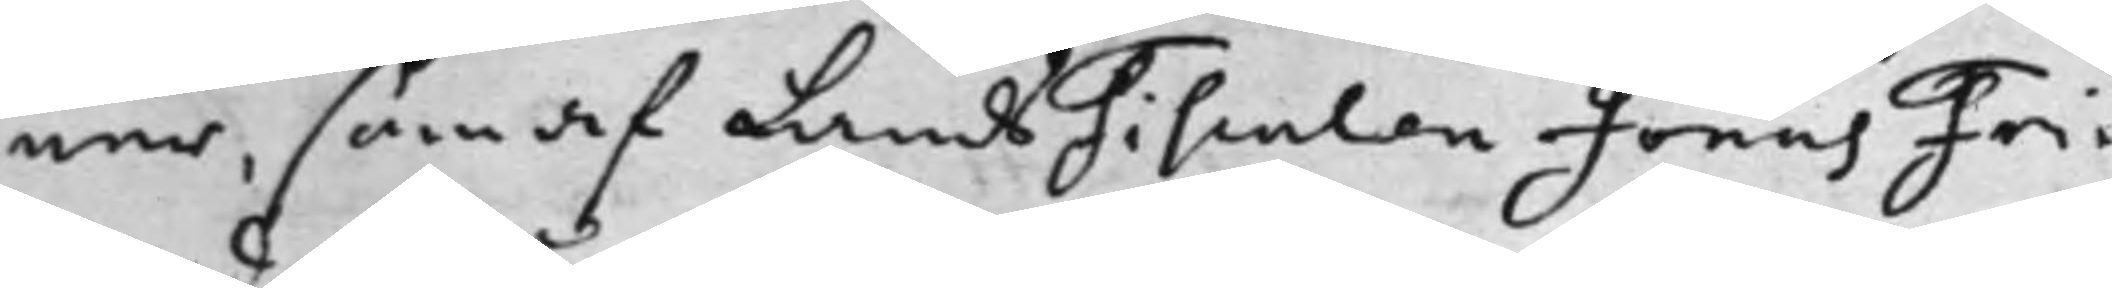ner, som af LandsFiscalen Jonas Fri¬
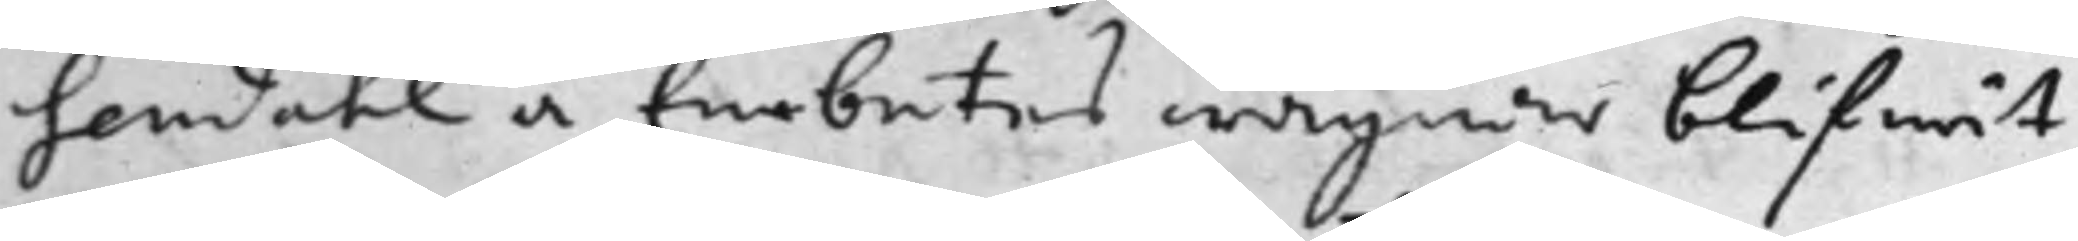sendahl å Embetes wägnar blifwit
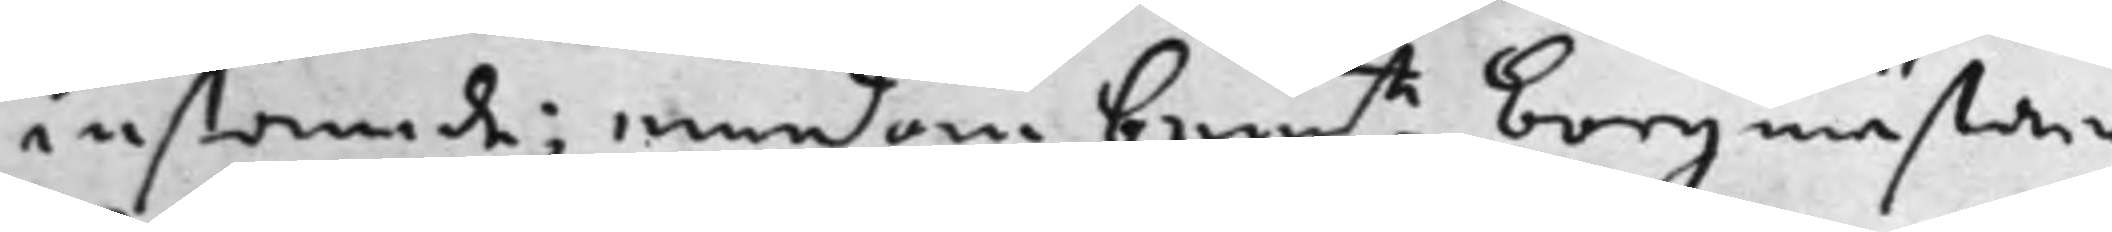instämde; emedan bem:te borgmästare
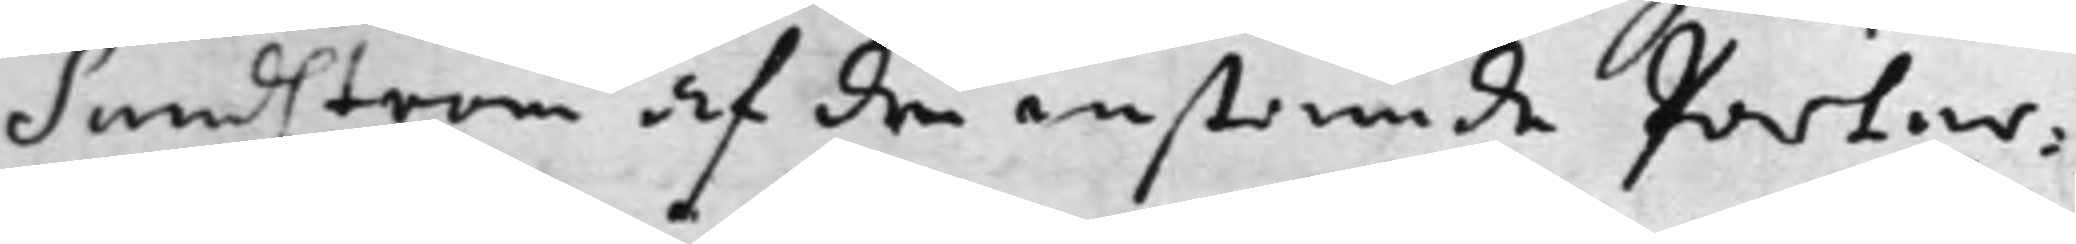Sundström af de instämde Parter¬
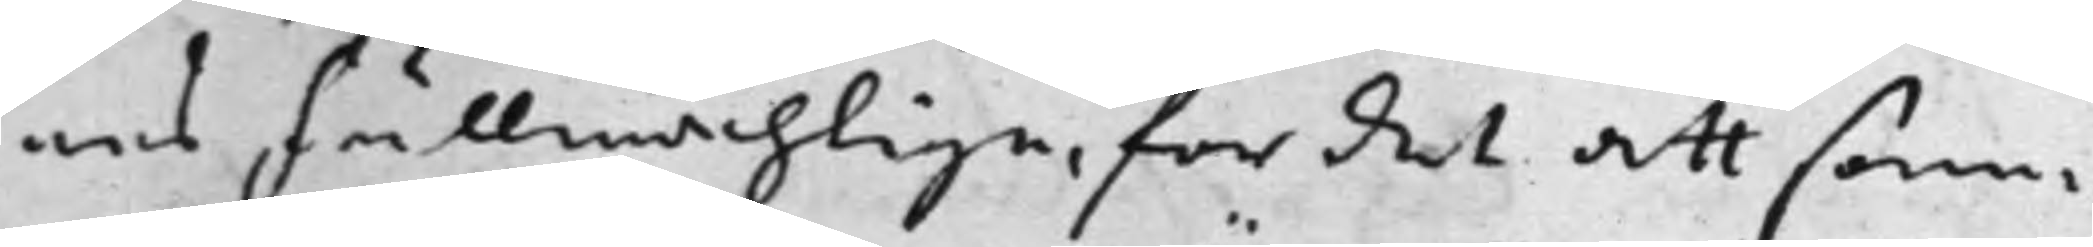nes Fullmächtige, för det att sam¬
